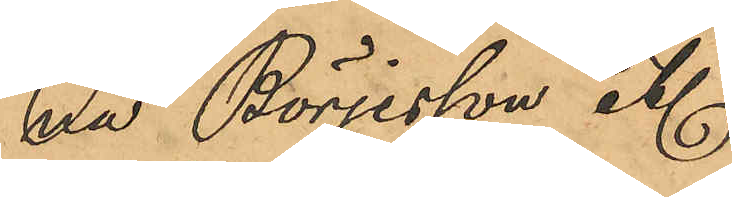na Börjesson etc
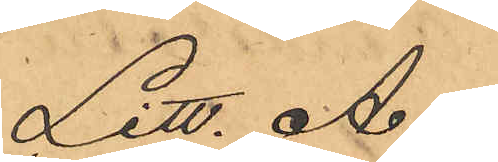Litt. A.
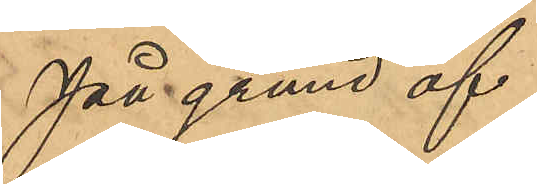På grund af
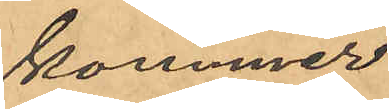kommer
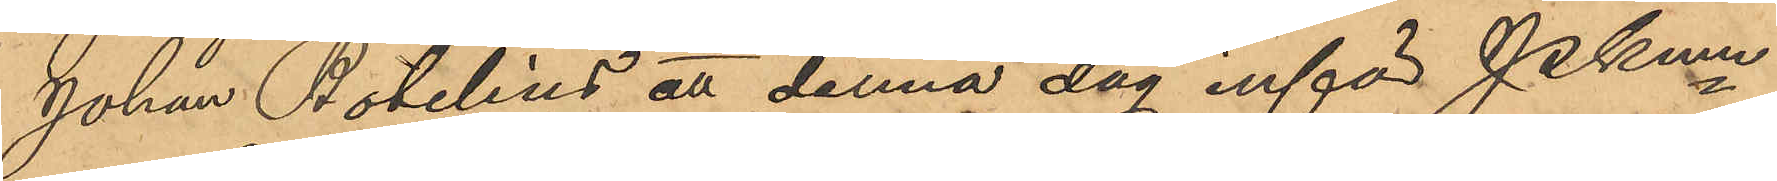Johan Botelius att denna dag inför PKmn
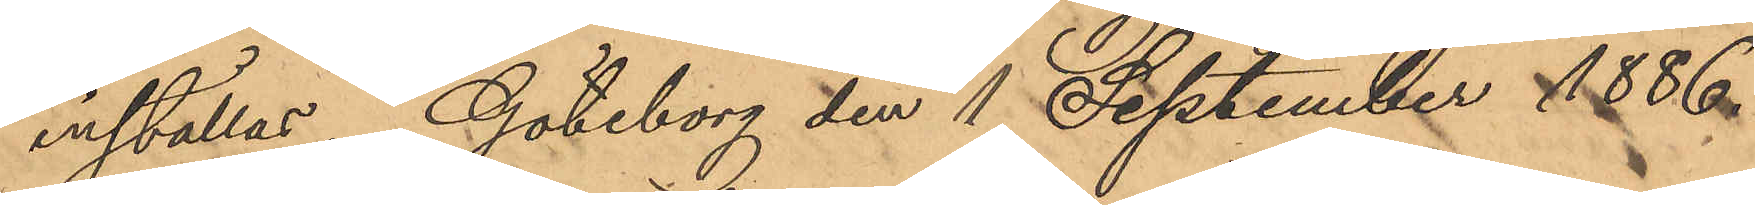inställas. Göteborg den 1 September 1886.
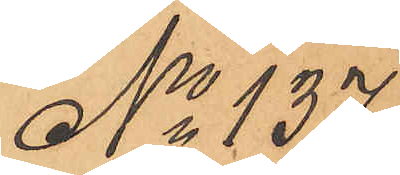No 137
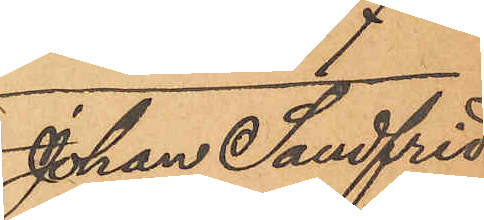Johan Sandfrid
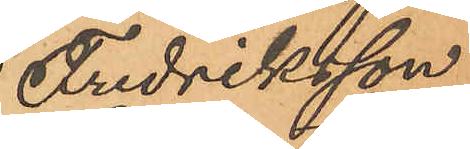Fredriksson
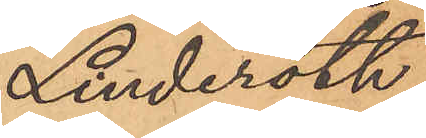Linderoth
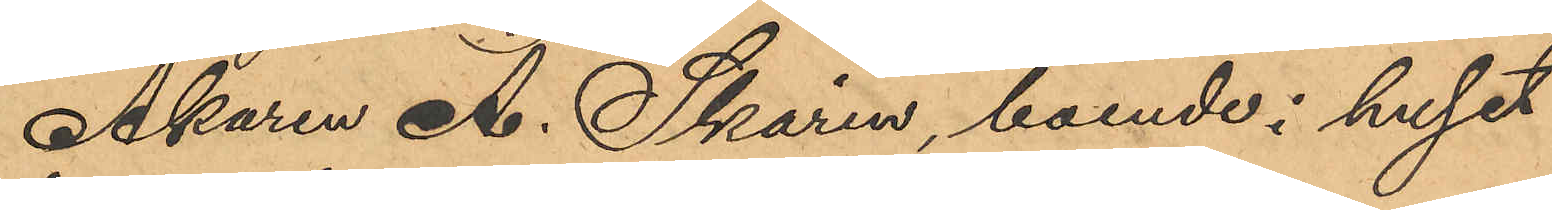Åkaren A. Skarin, boende i huset
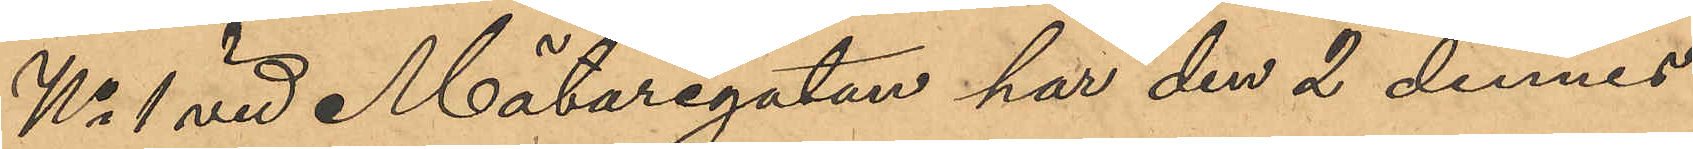No 1 vid Mätaregatan har den 2 dennes
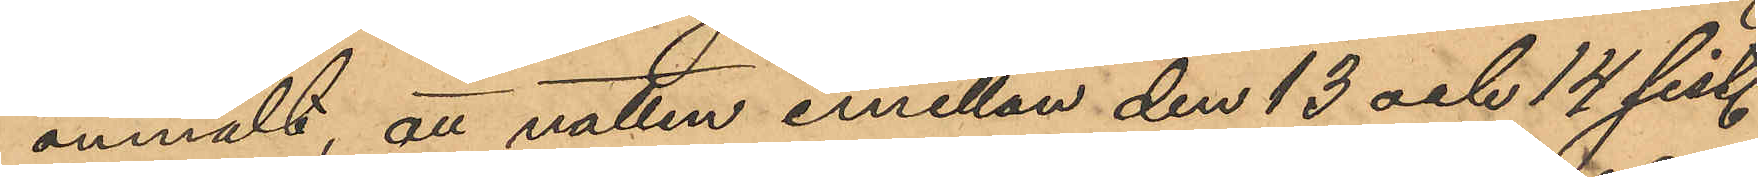anmält, att natten emellan den 13 och 14 sist.
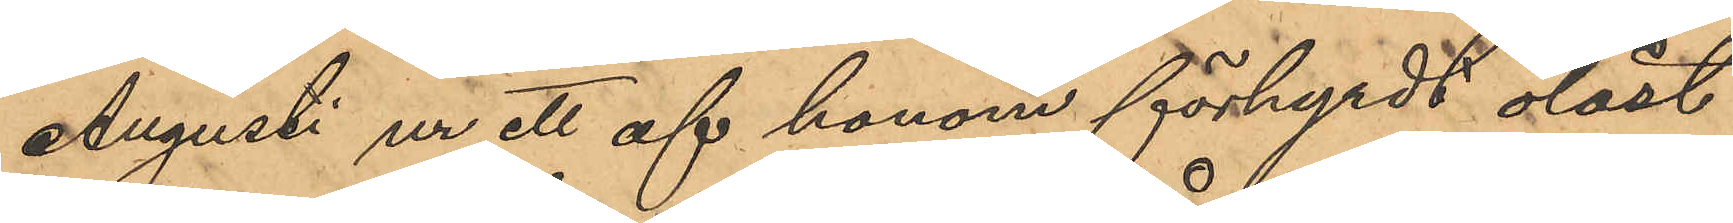Augusti ur ett af honom förhyrdt olåst
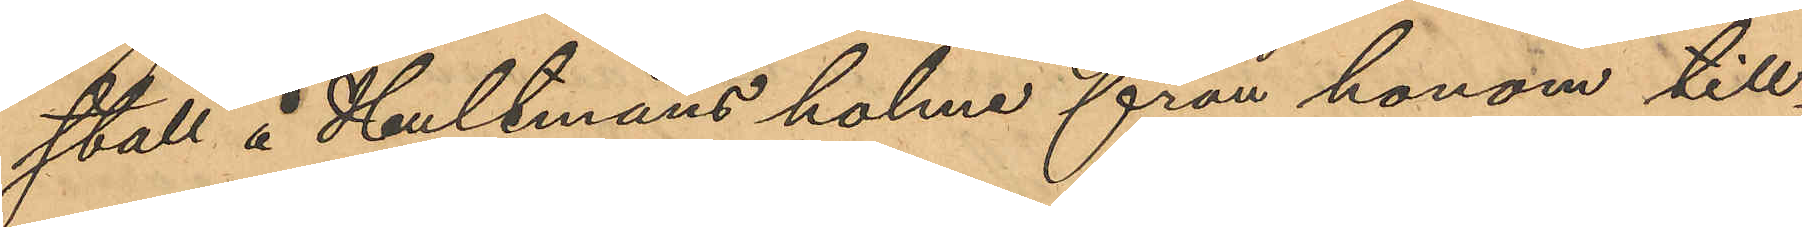stall å Hultmans holme från honom till¬
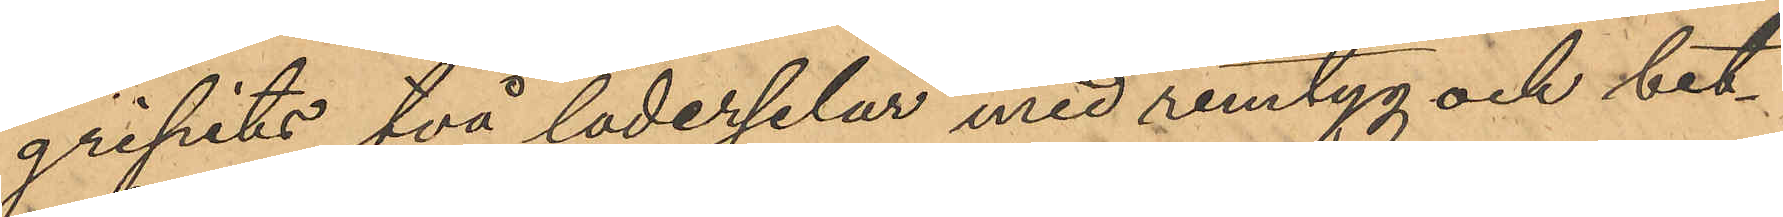gripits två läderselar med remtyg och bet¬
